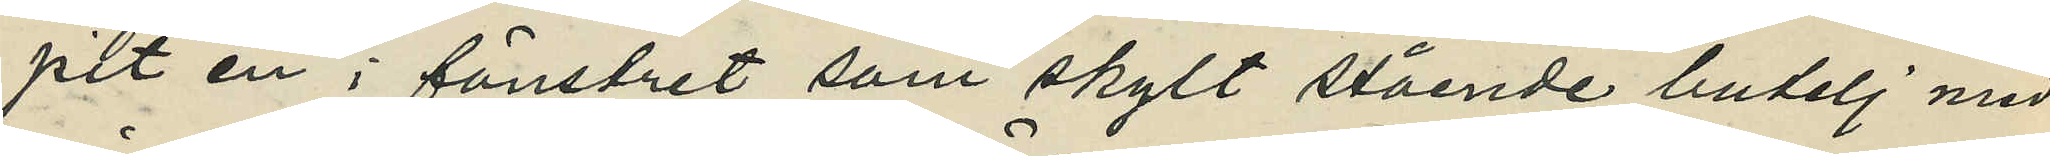pit en i fönstret som skylt stående butelj med
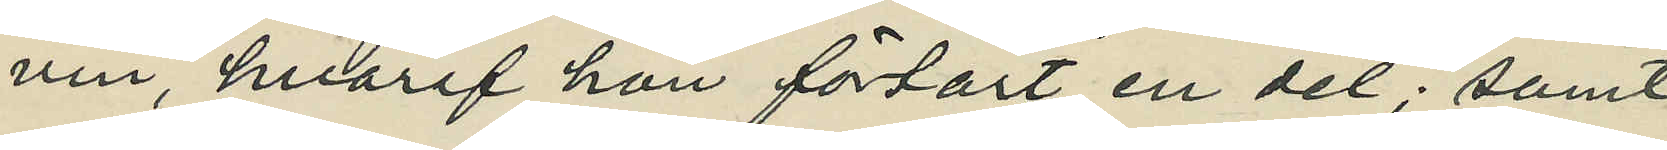vin, hvaraf hon förtärt en del; samt
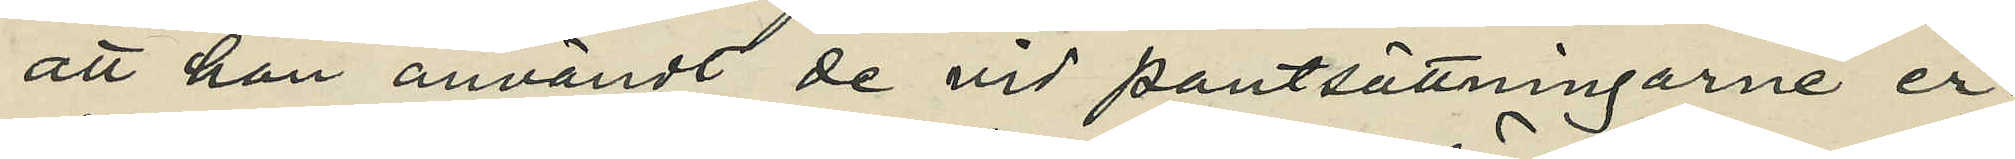att hon användt de vid pantsättningarne er¬
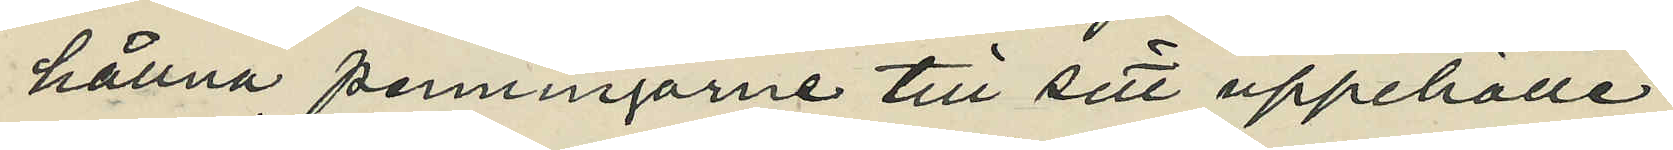hållna penningarne till sitt uppehälle.
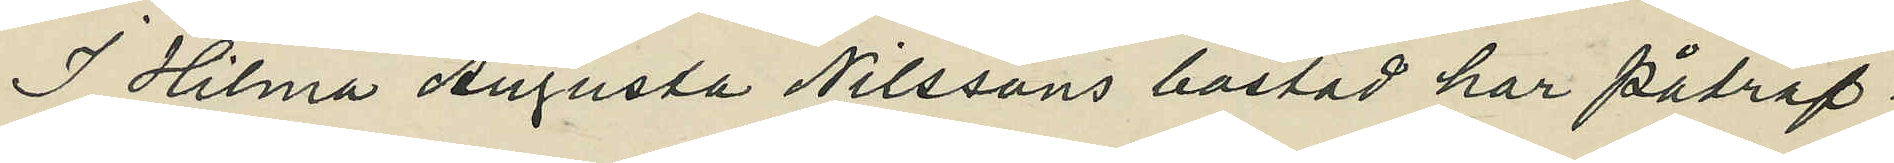I Hilma Augusta Nilssons bostad har påträf¬
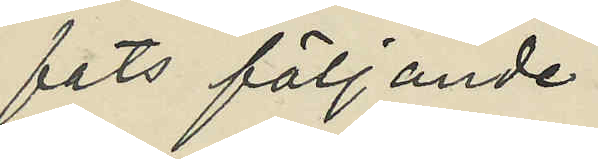fats följande:
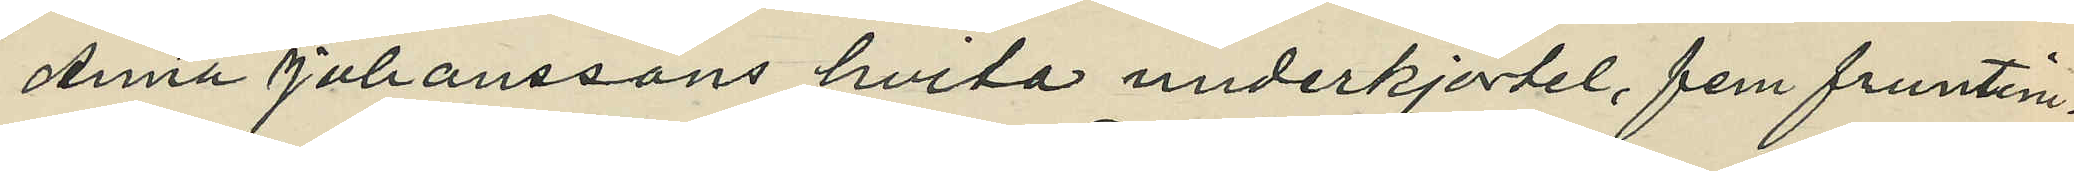Anna Johanssons hvita underkjortel, fem fruntim¬
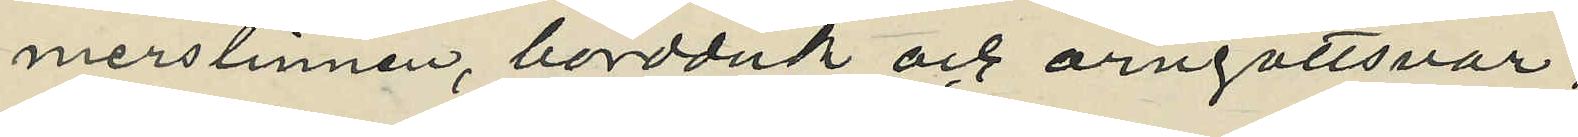merslinnen, bordduk och örngottsvar,
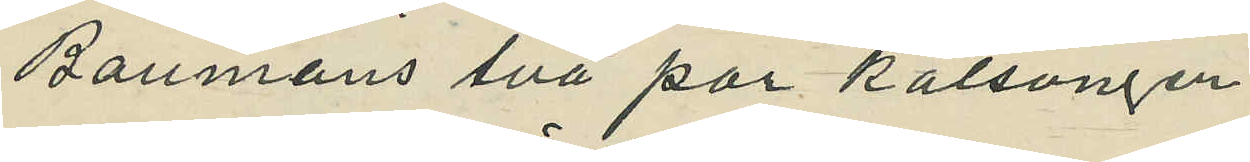Baumans två par kalsonger,
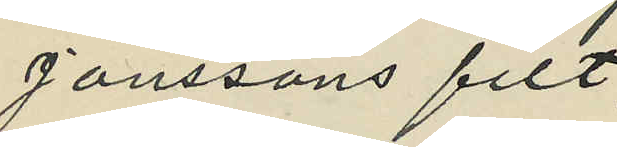Janssons filt,
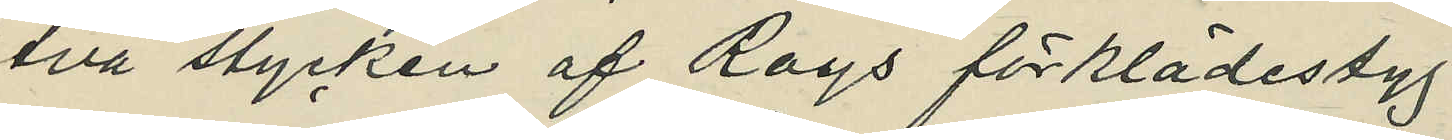två stycken af Roys förklädestyg,
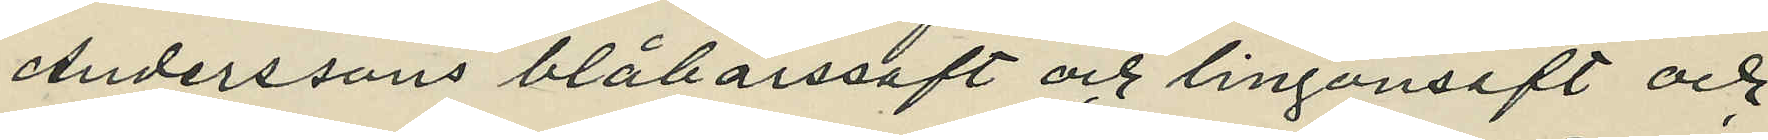Anderssons blåbärssaft och lingonsaft och
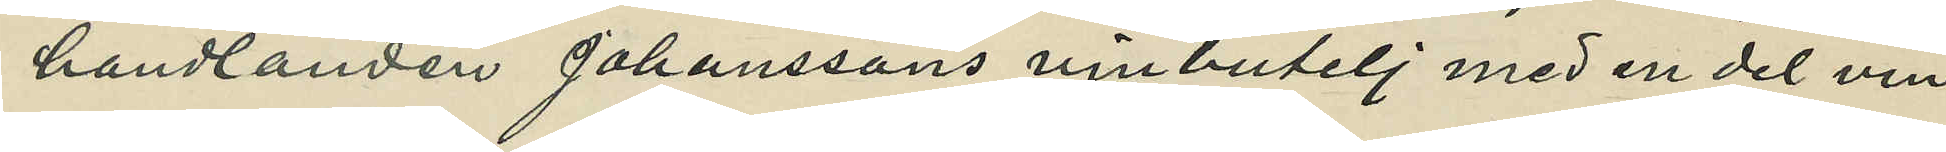handlanden Johanssons vinbutelj med en del vin.
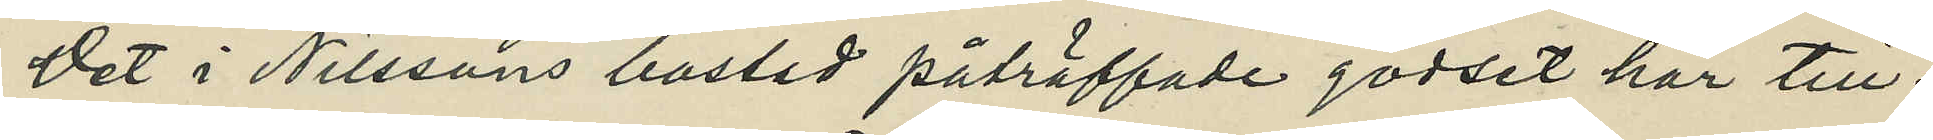Det i Nilssons bostad påträffade godset har till¬
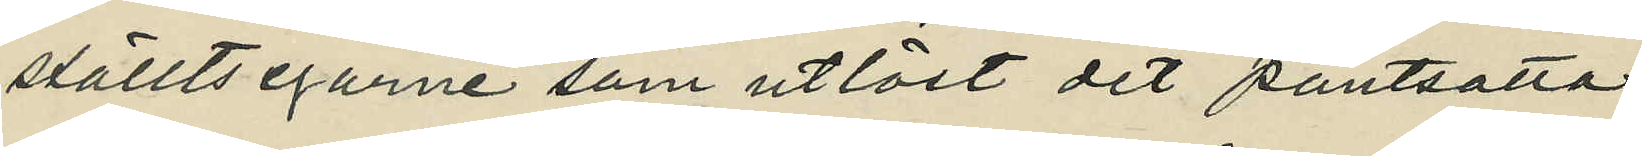ställts egarne som utlöst det pantsatta.
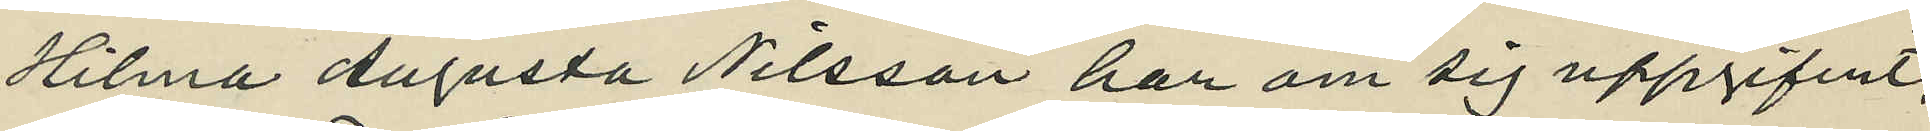Hilma Augusta Nilsson har om sig uppgifvit,
